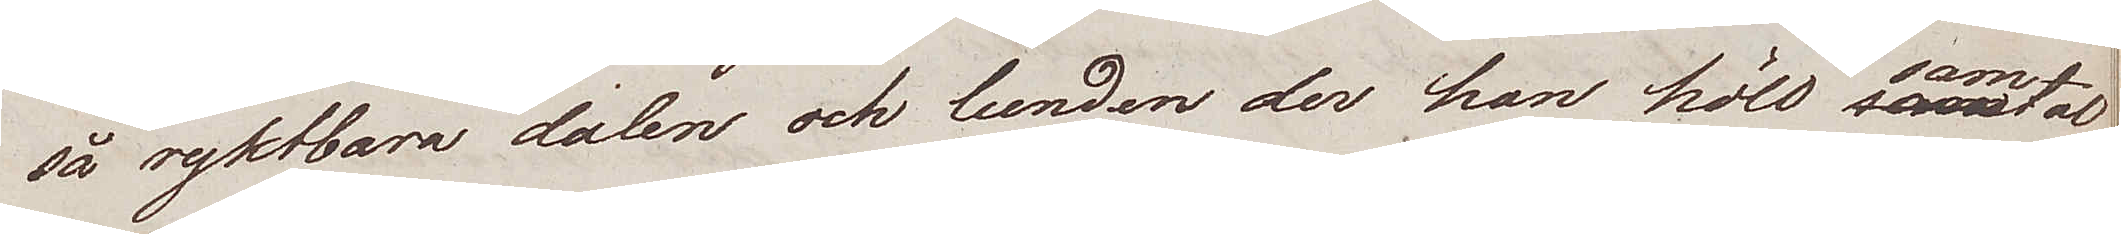så ryktbara dalen och lunden der han höll samtal
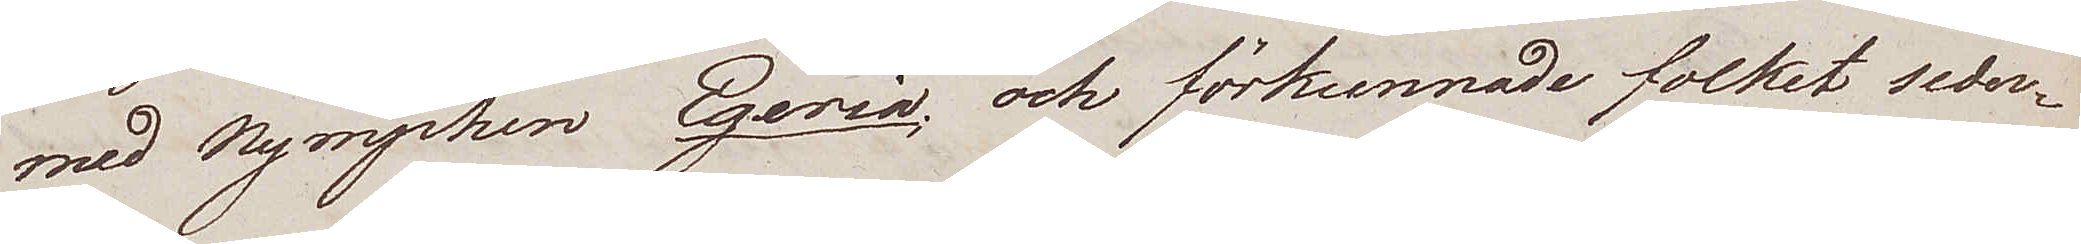med Nymphen Egeria; och förkunnade folket sede¬
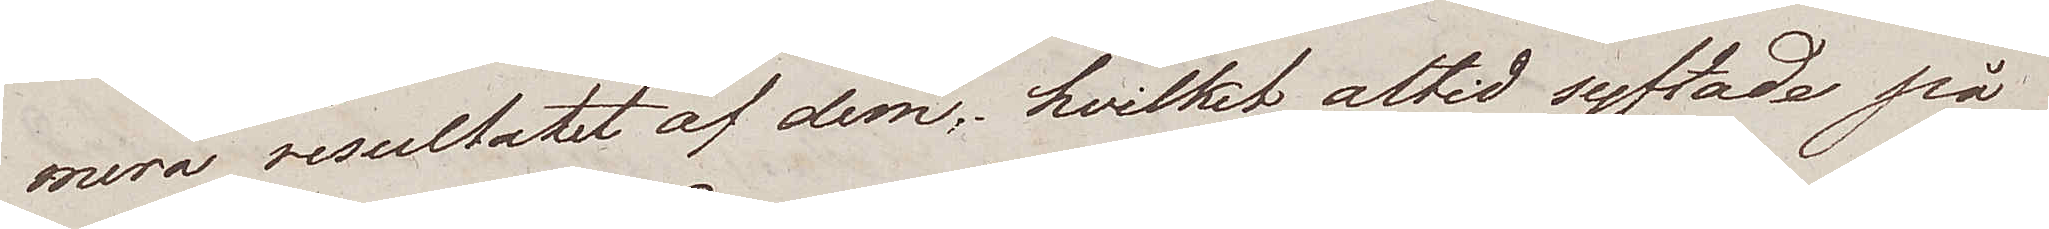mera resultatet af dem, hvilket altid syftade på
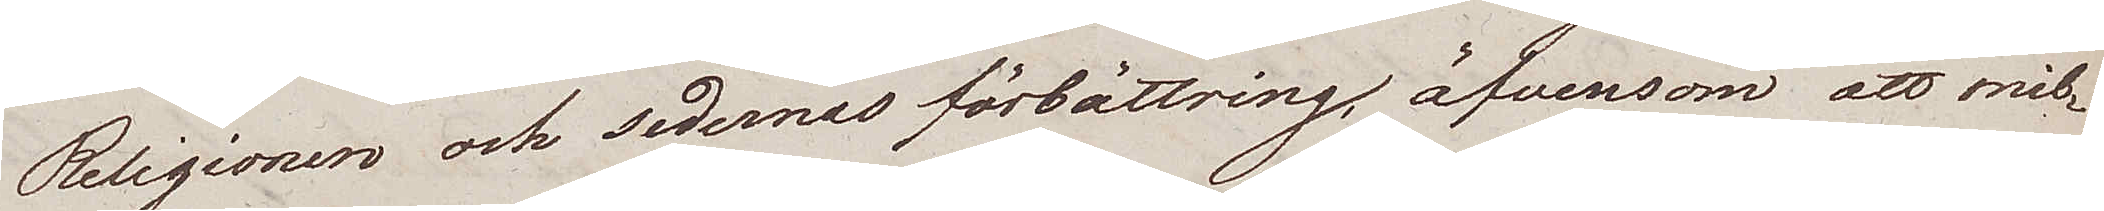Religionen och sedernas förbättring, äfvensom att mil¬
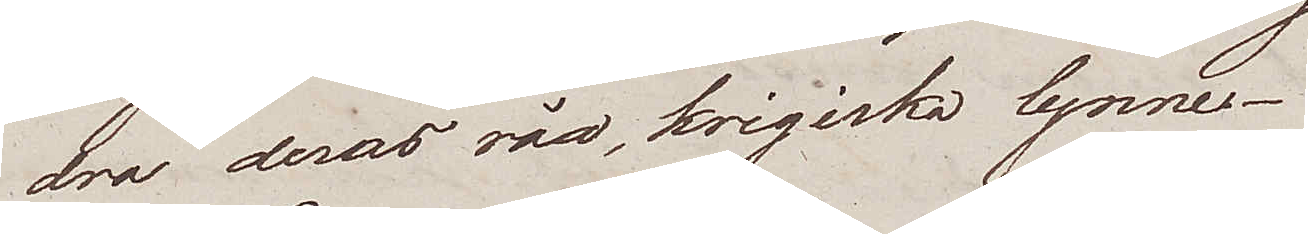dra deras råa krigiska lynne.
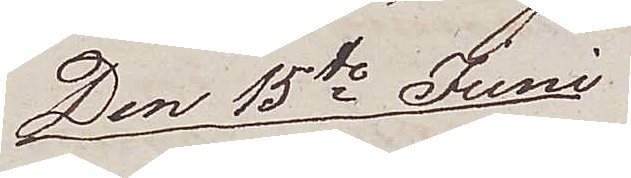Den 15de Juni
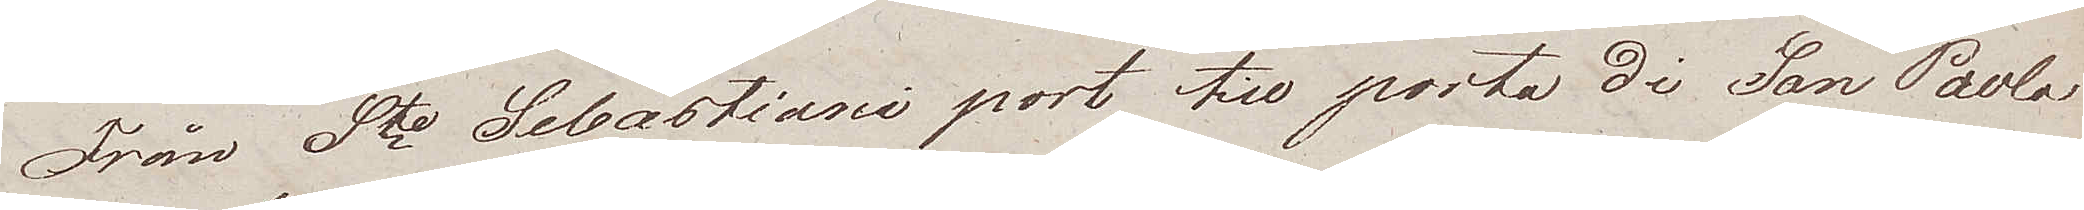Från Ste Sebastiani port till porta di San Paola
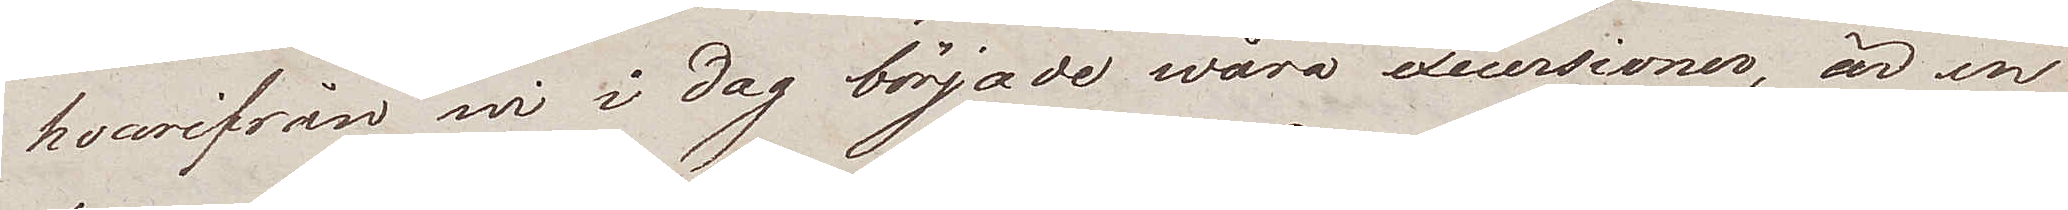hvarifrån wi i dag började wåra excursioner, är en
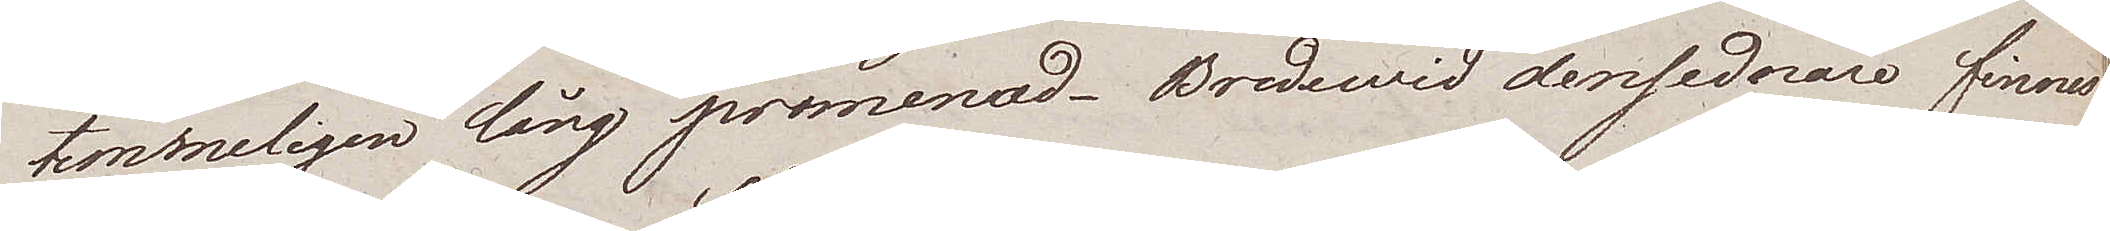temmeligen lång promenad. Bredewid densednare finnes
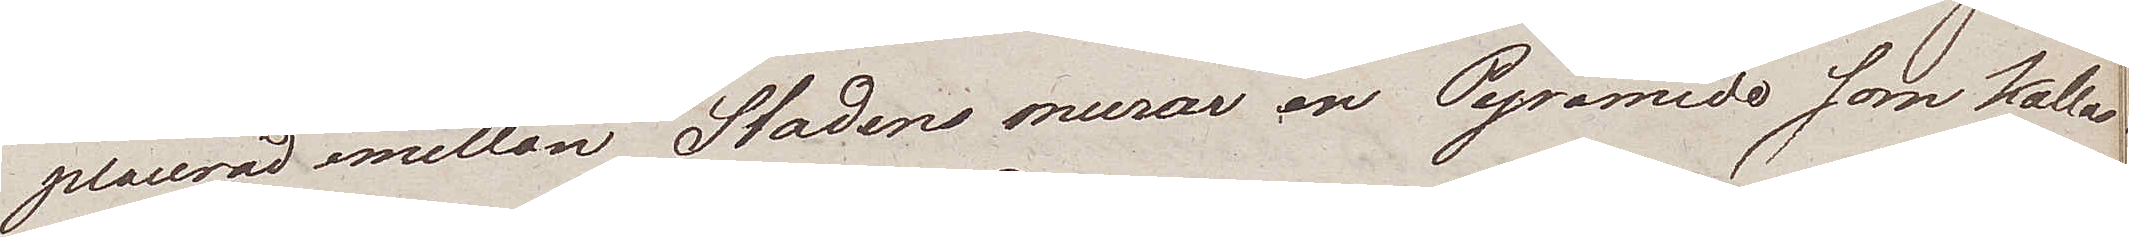placerad emellan Stadens murar en Pyramide som kallas
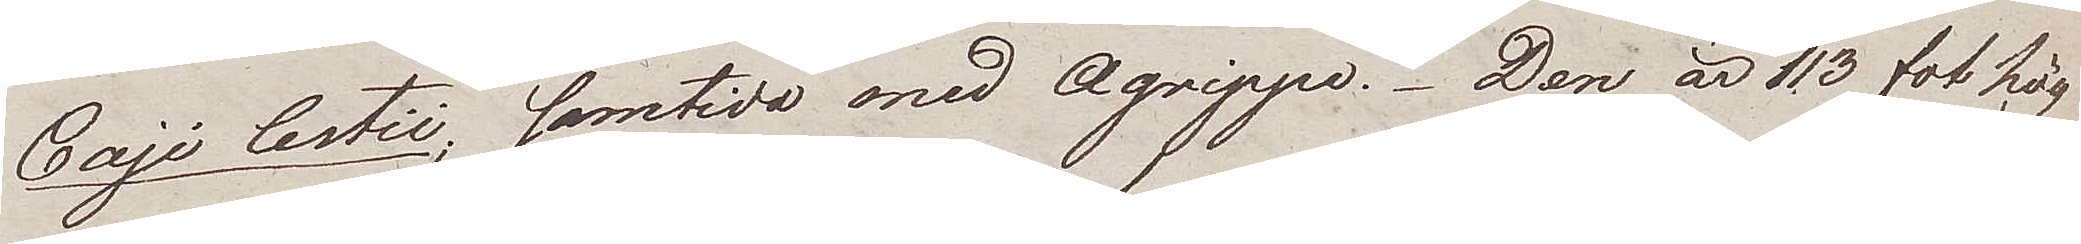Gaji Cestii, samtida med Agrippa. Den är 113 fot hög
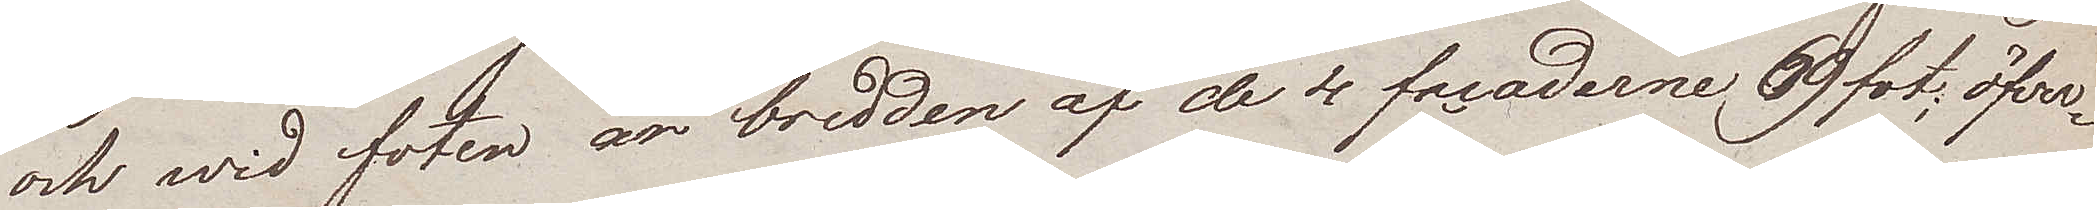och wid foten är bredden af de 4 facaderne 69 fot; öfver¬
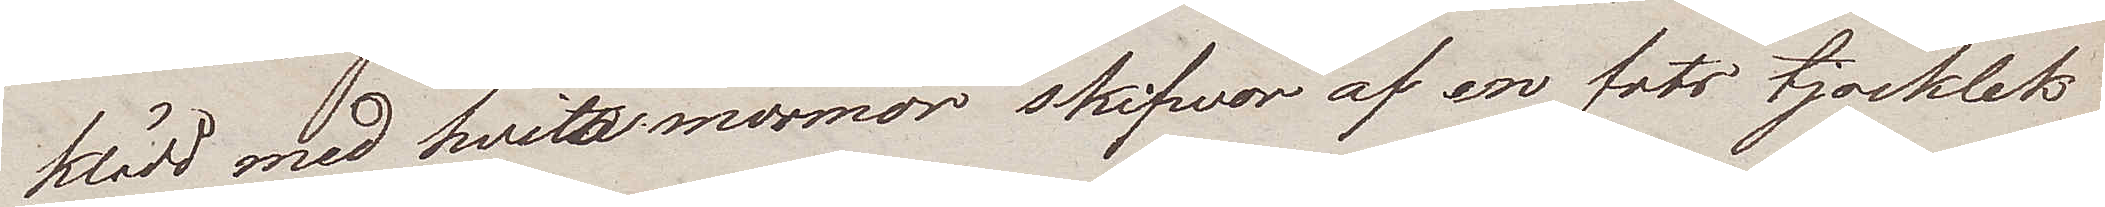klädd med hvita marmor skifwor af en fots tjocklek
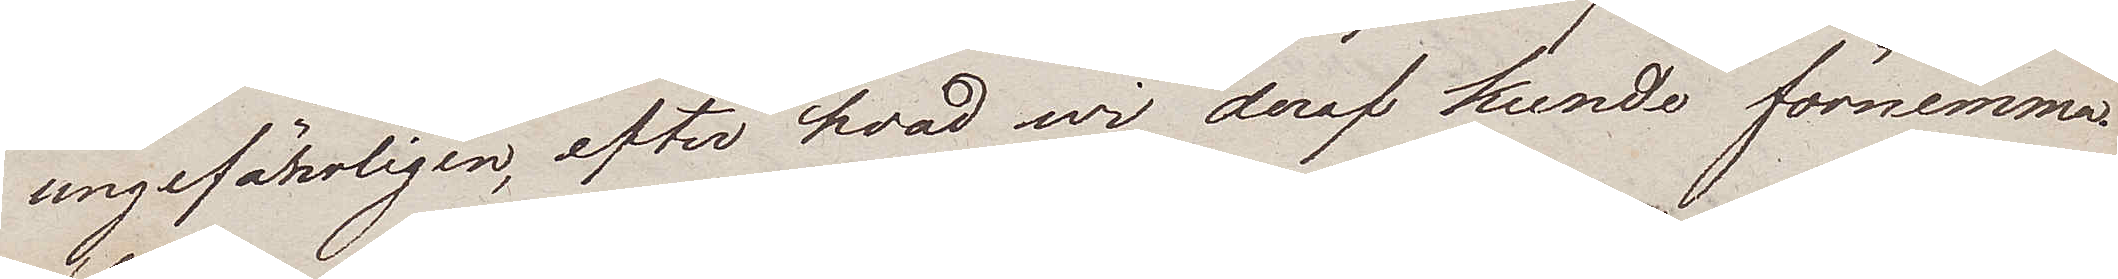ungefärligen, efter hvad wi deraf kunde förnimma
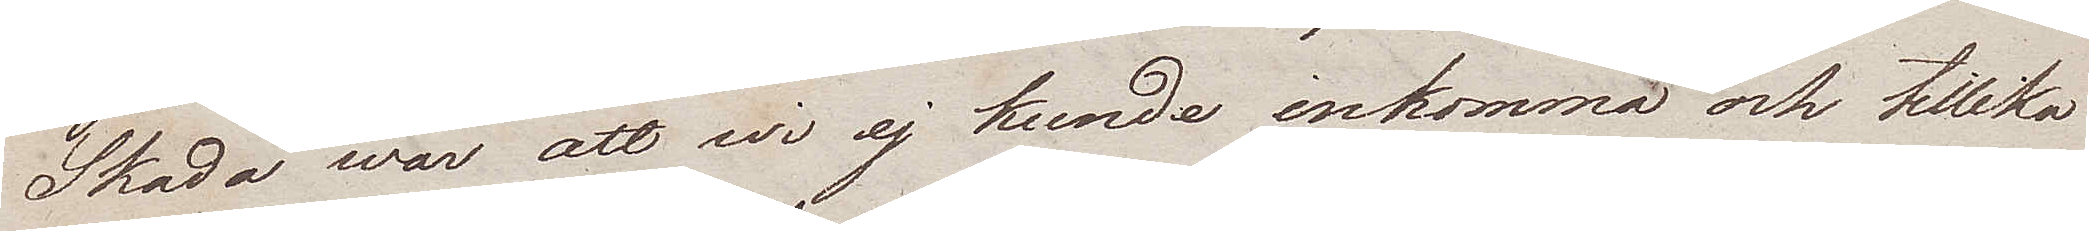Skada war att wi ej kunde inkomma och tillika
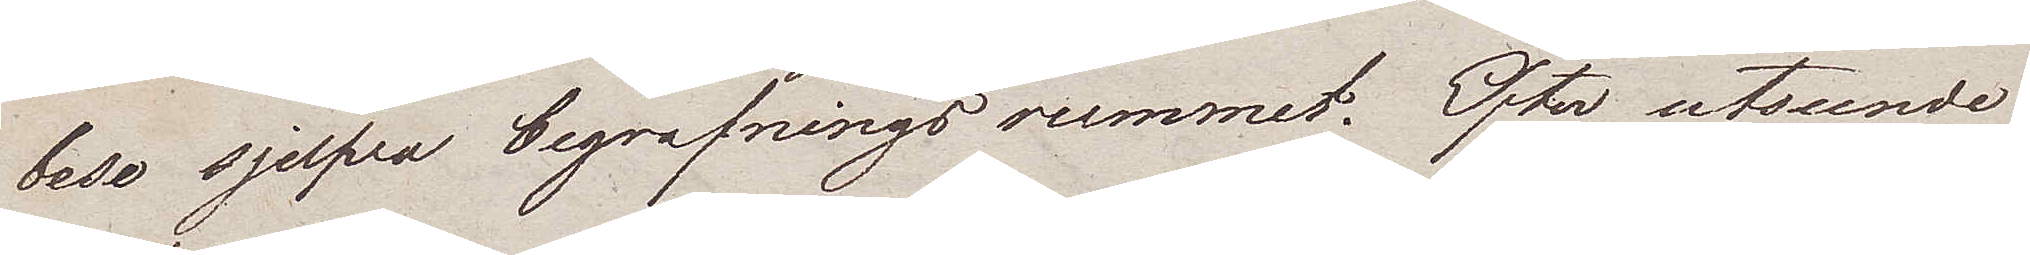bese sjelfva begrafningsrummet. Efter utseende
